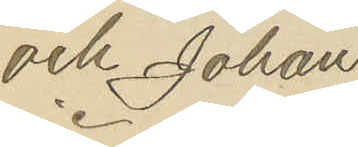och Johan
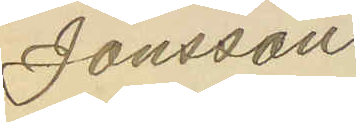Jonsson.
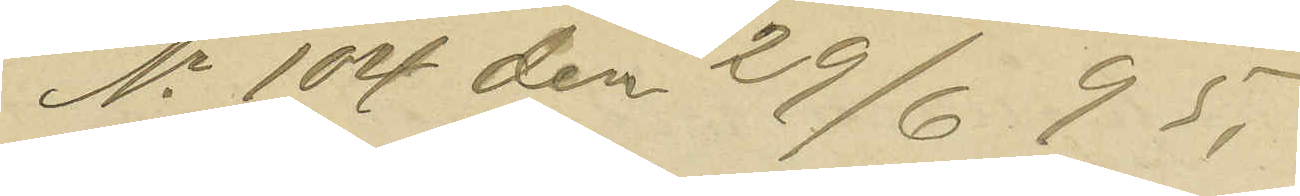No 104 den 29/6 95.
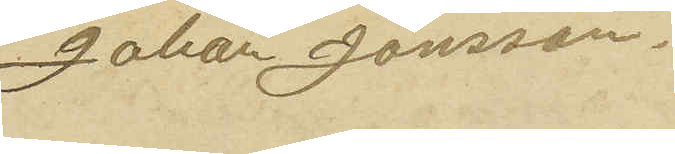Johan Jonsson.
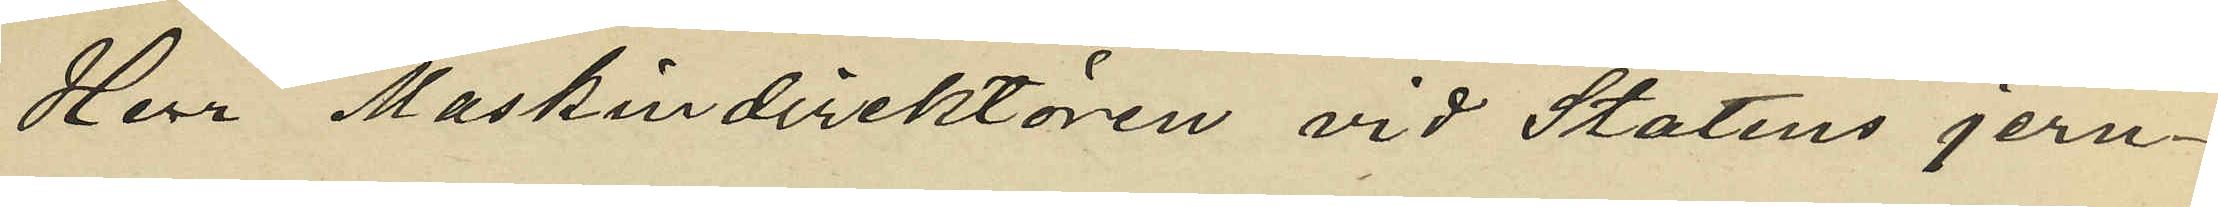Herr Maskindirektören vid Statens jern¬
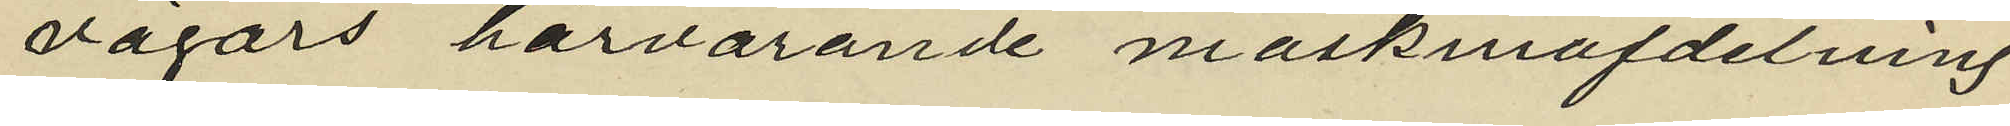vägars härvarande maskinafdelning
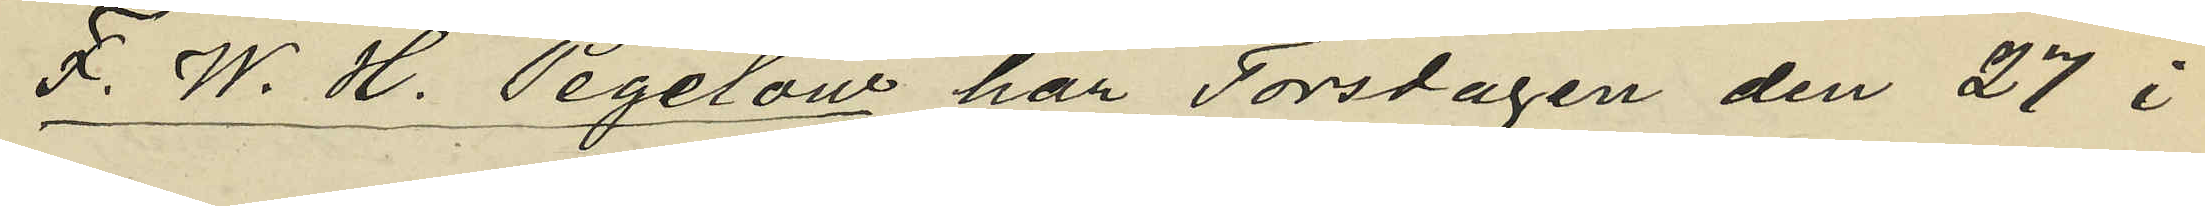F. W. H. Pegelow har Torsdagen den 27 i
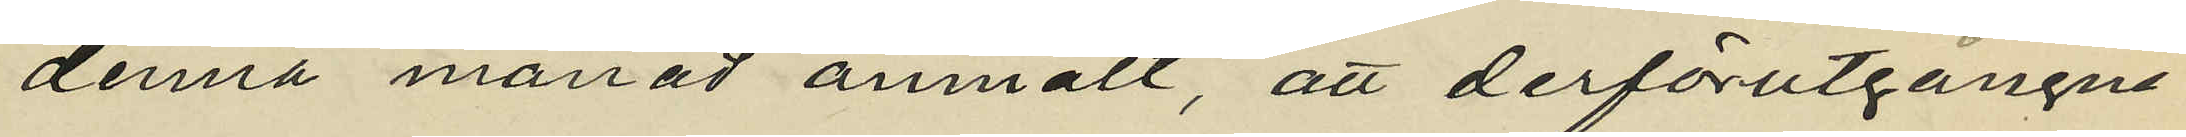denna månad anmält, att derförutgångne
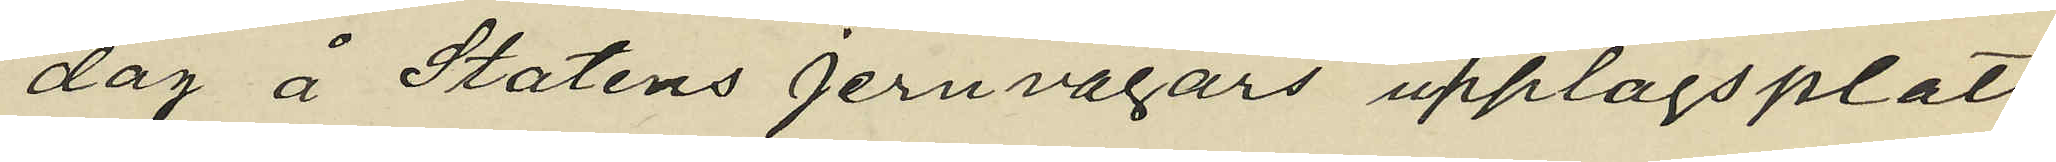dag å Statens jernvägars upplagsplats
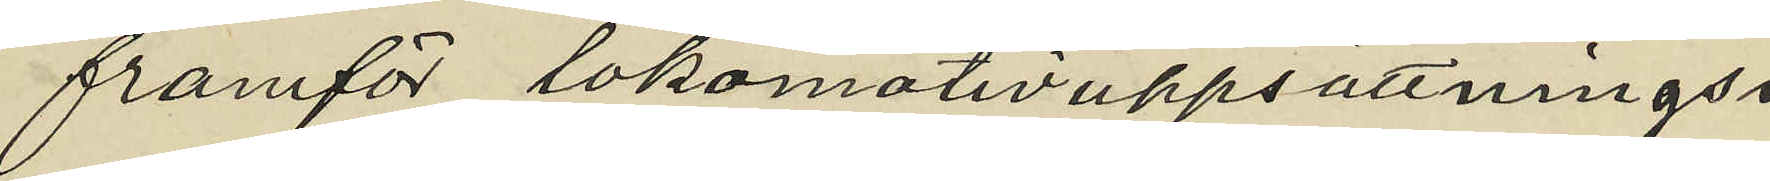framför lokomotivuppsättnings¬
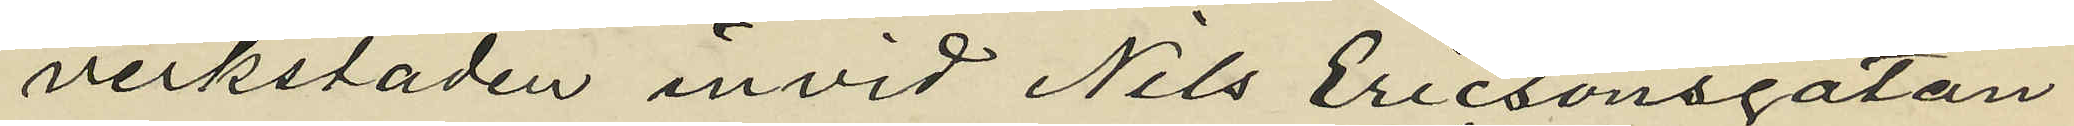verkstaden invid Nils Ericsonsgatan
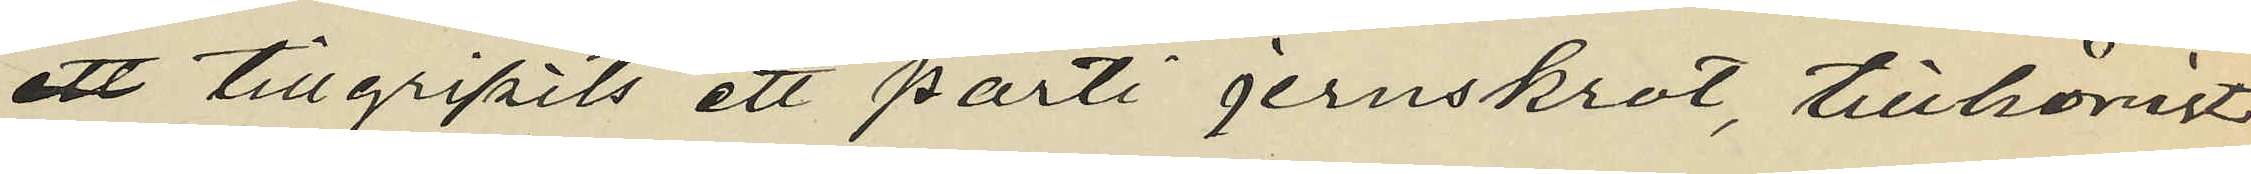 tillgripits ett parti jernskrot, tillhörigt
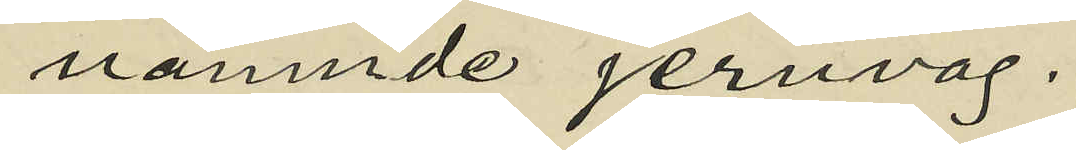nämnde jernväg.
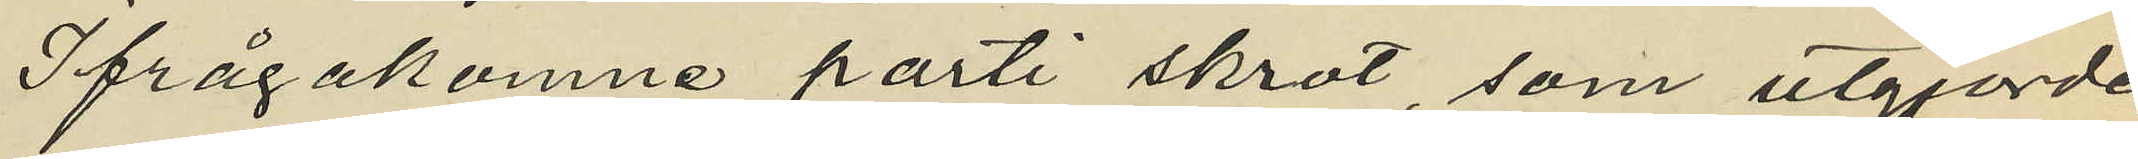Ifrågakomne parti skrot, som utgjorde
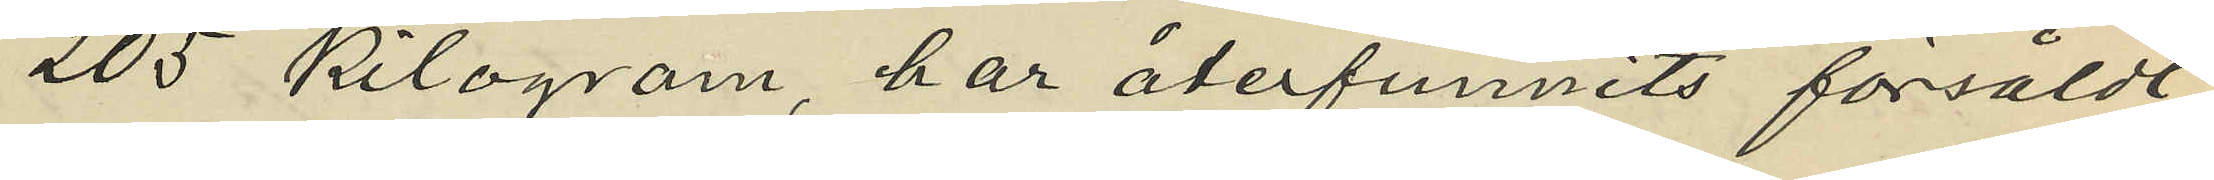205 kilogram, har återfunnits försåldt
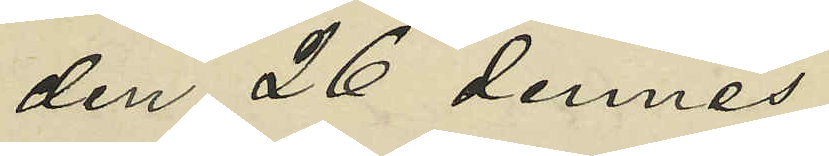den 26 dennes
